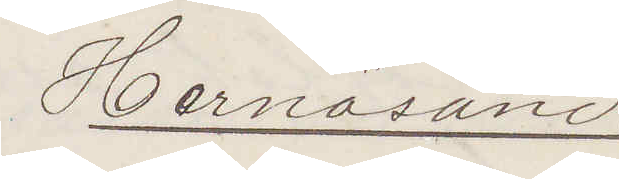Hernösand
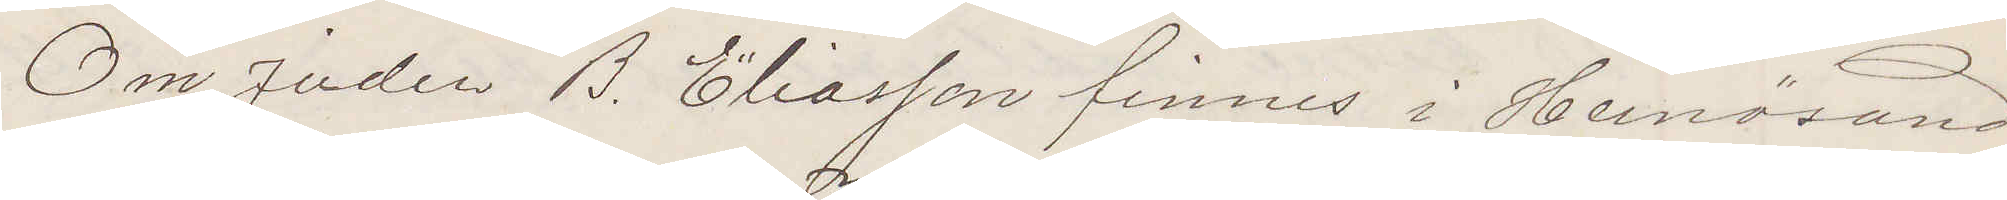Om Juden B. Eliasson finnes i Hernösand
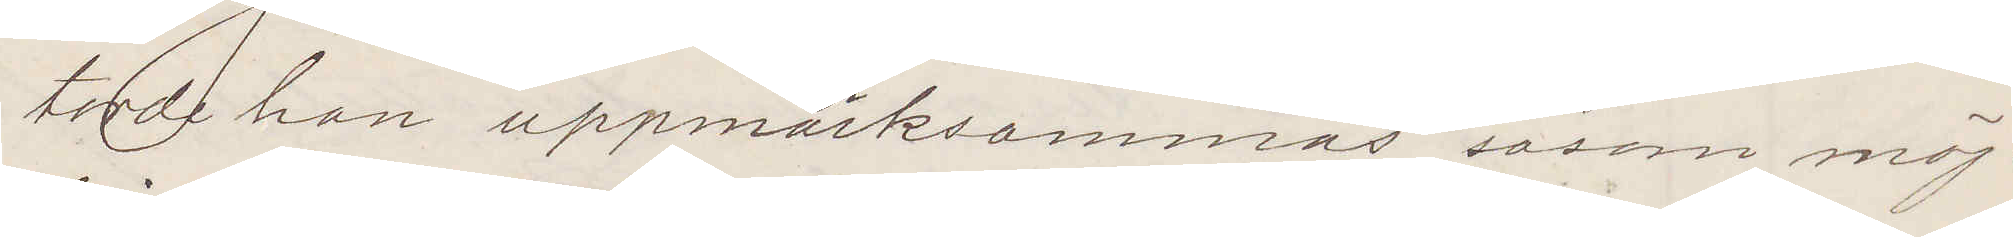torde han uppmärksammas såsom möj¬
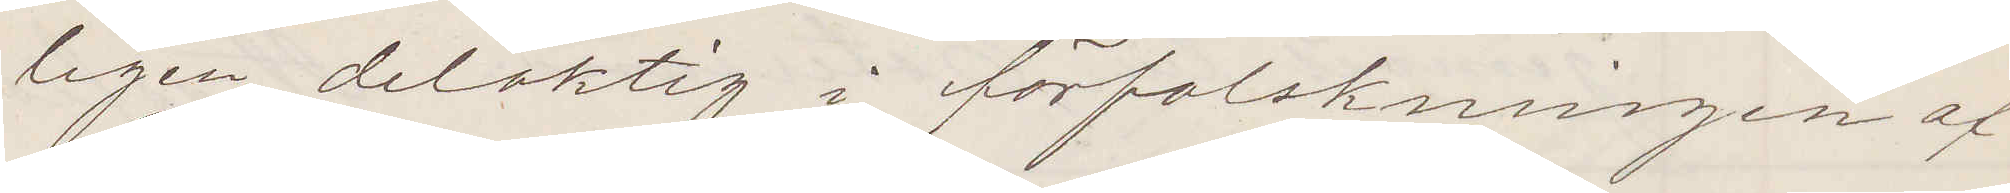ligen delaktig i förfalskningen af
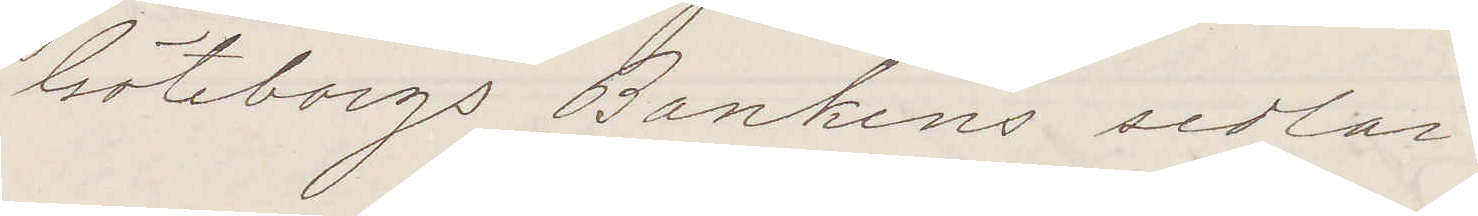Göteborgs Bankens sedlar:
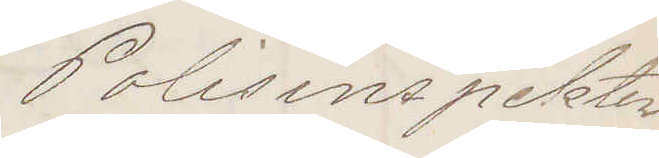Polisinspektorn
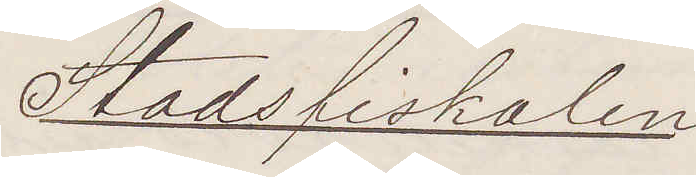Stadsfiskalen
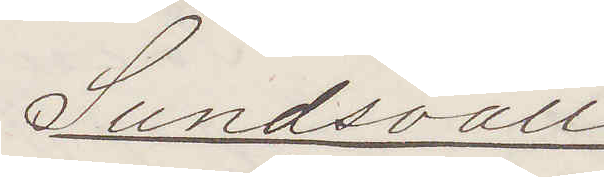Sundsvall
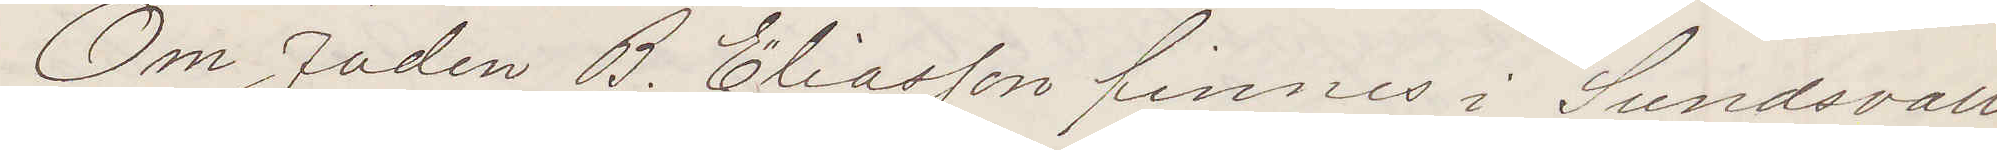Om Juden B. Eliasson finnes i Sundsvall
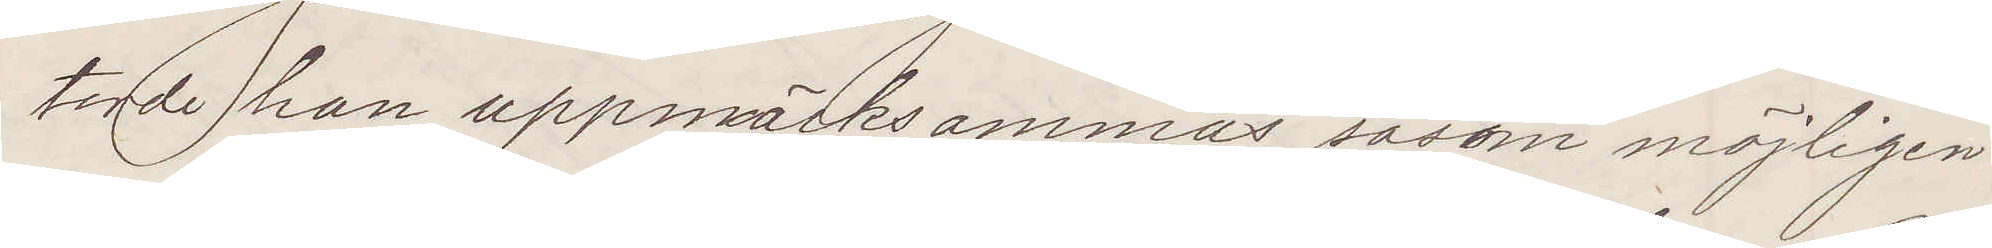torde han uppmärksammas såsom möjligen
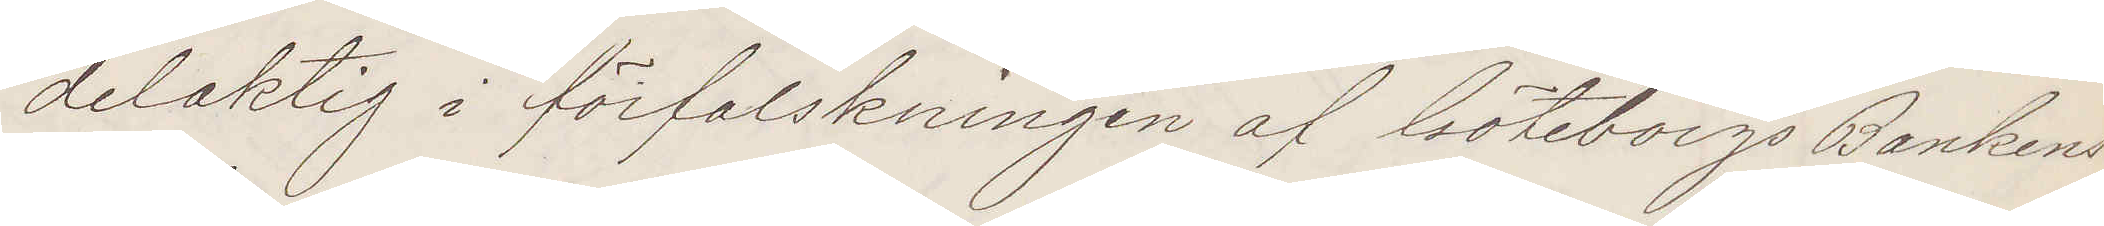delaktig i förfalskningen af Göteborgs Bankens
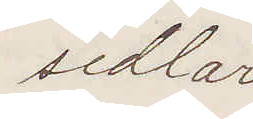sedlar
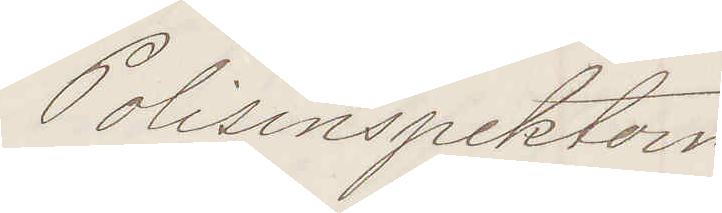Polisinspektorn
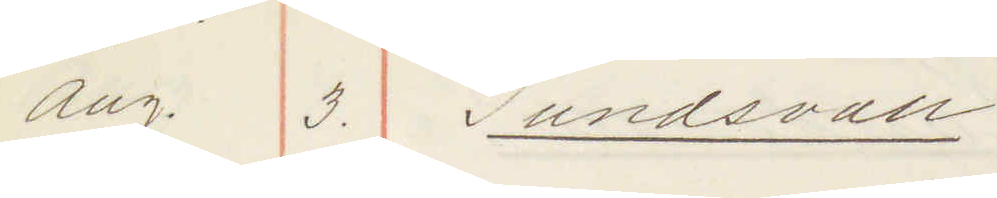Aug. 3. Sundsvall:
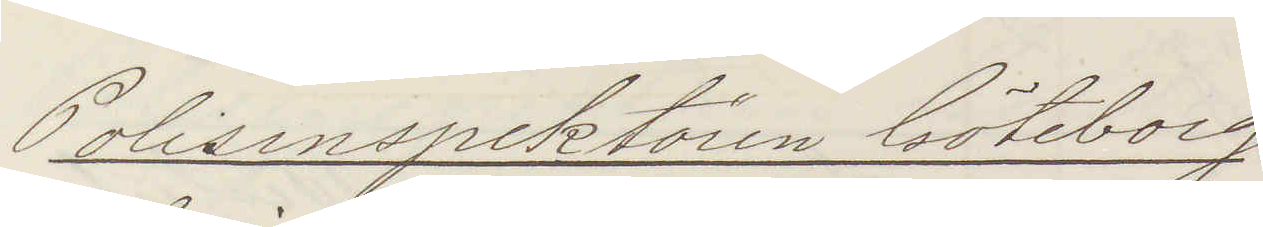Polisinspektören Göteborg
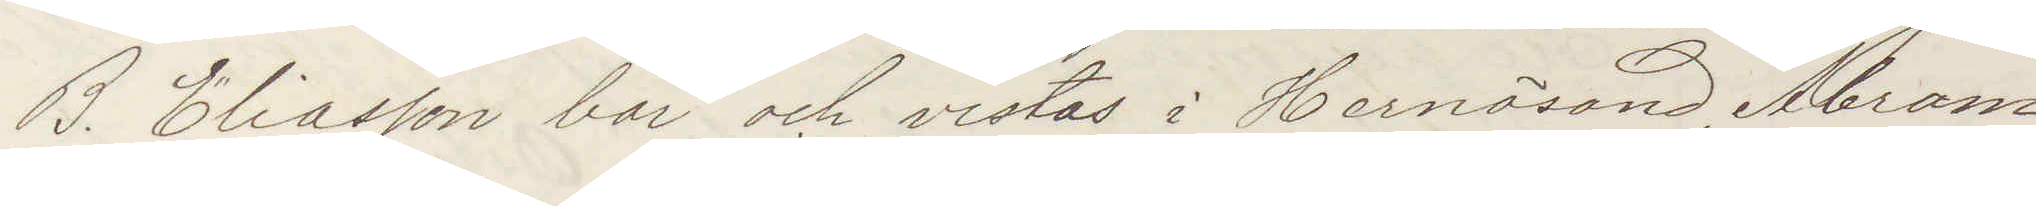B. Eliasson bor och vistas i Hernösand, Abram¬
